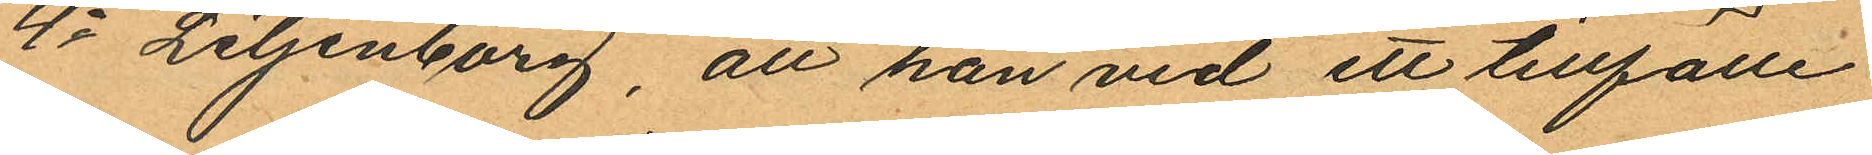4o Liljenborg, att han vid ett tillfälle
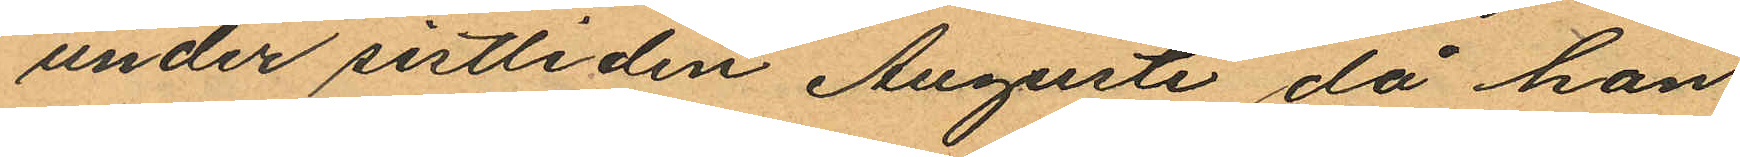under sistliden Augusti då han
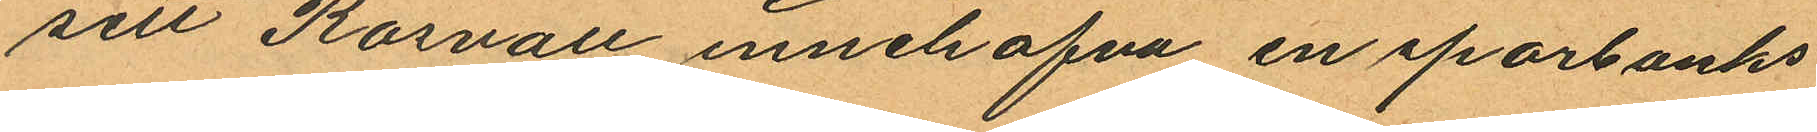sett Rosvall innehafva en sparbanks
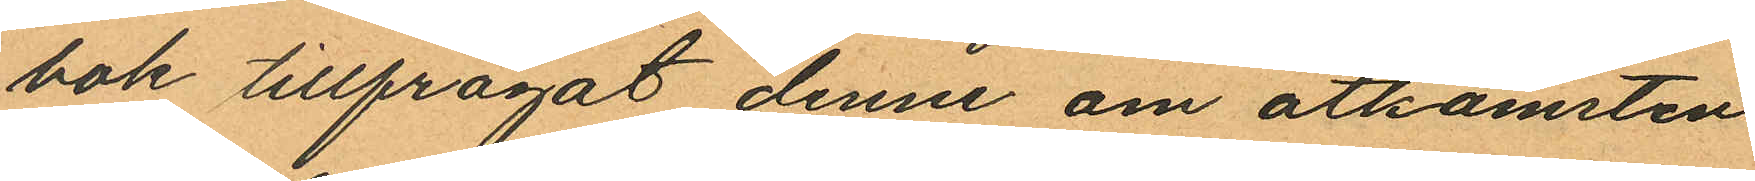bok tillfrågat denne om åtkomsten
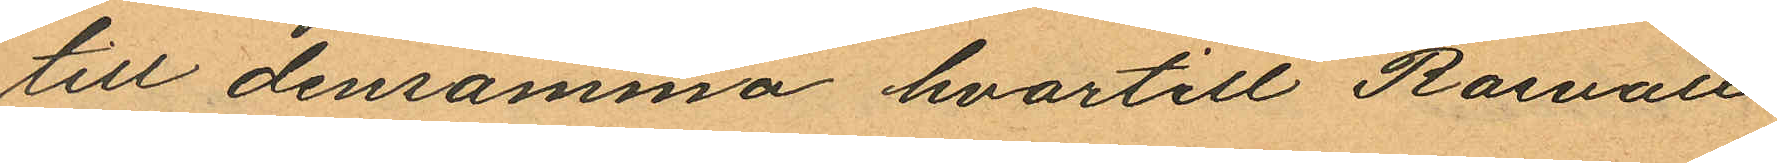till densamma hvartill Rosvall
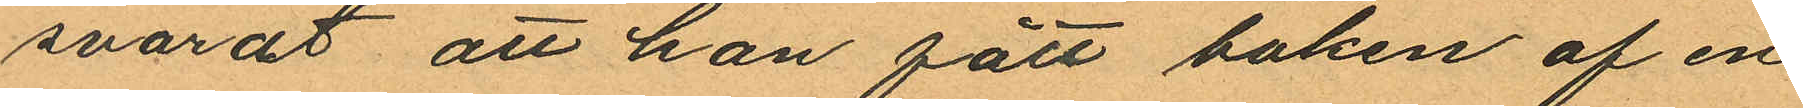svarat att han fått boken af en
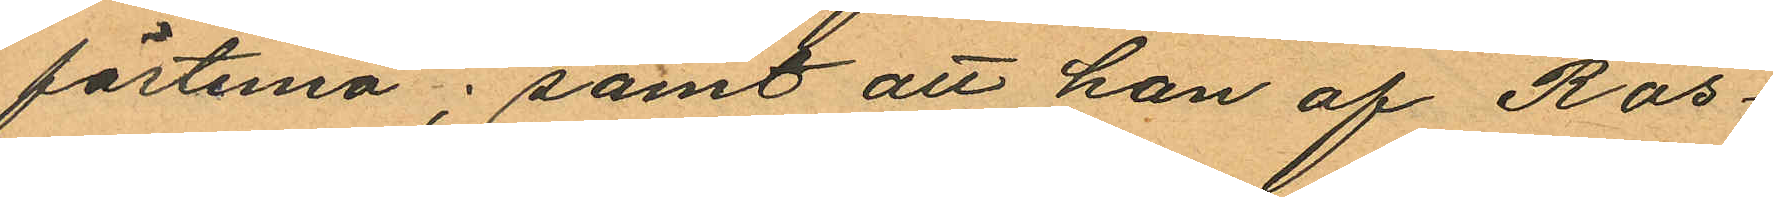fästemö; samt att han af Ros¬
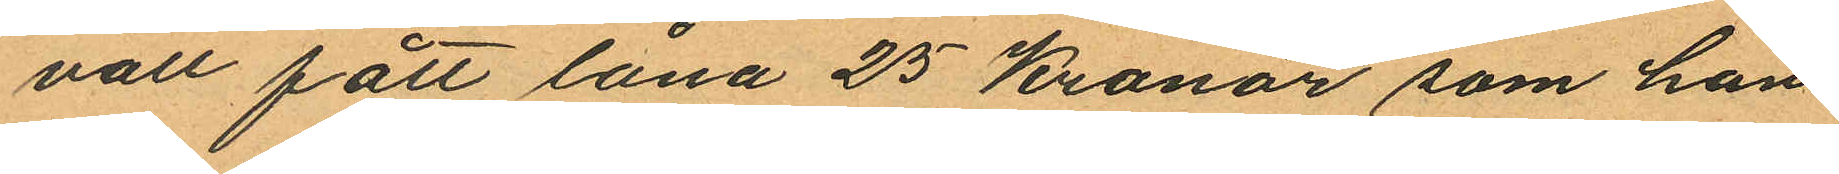vall fått låna 25 Kronor som han
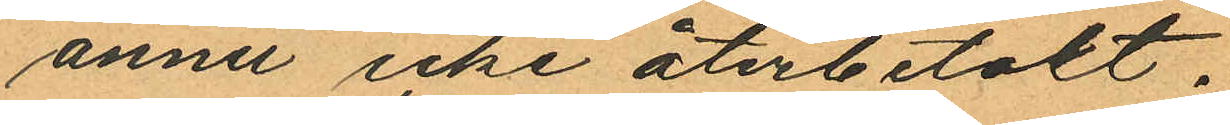ännu icke återbetalt.
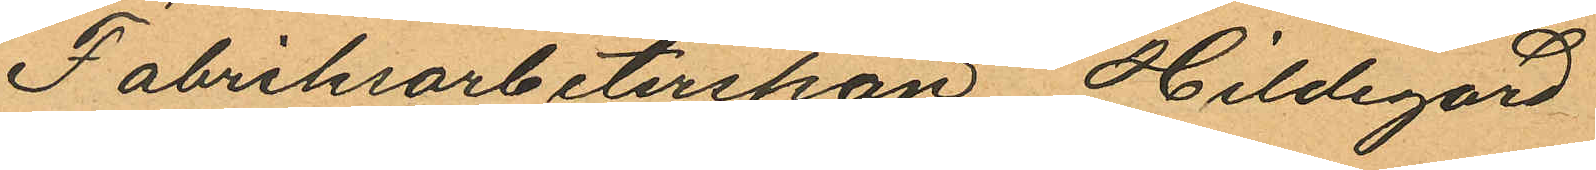Fabriksarbeterskan, Hildegard
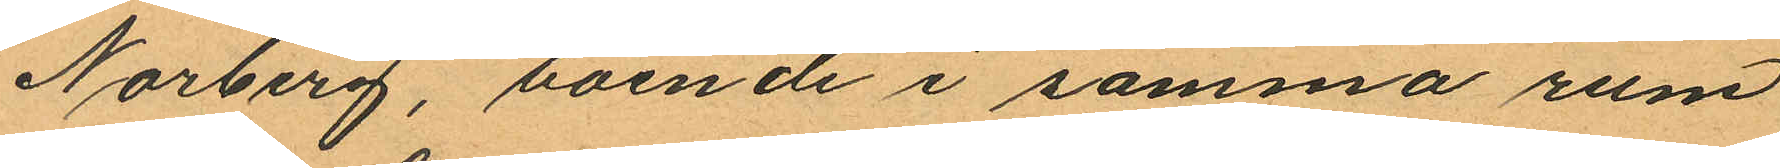Norberg, boende i samma rum
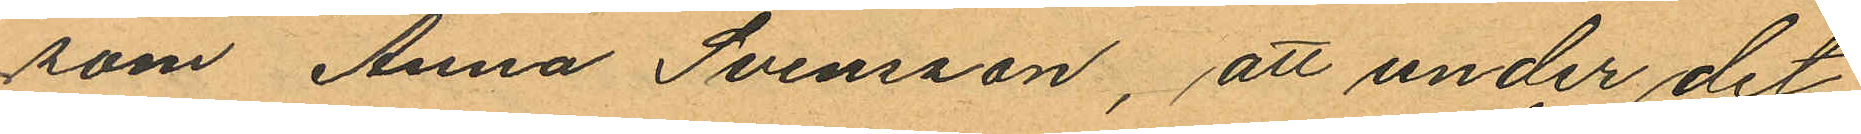som Anna Svensson, att under det
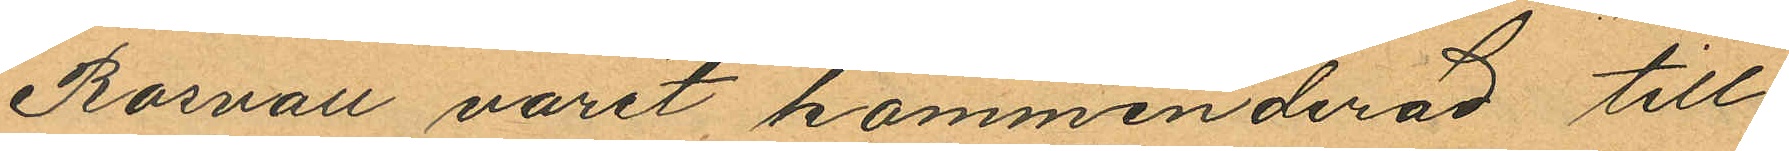Rosvall varit kommenderad till
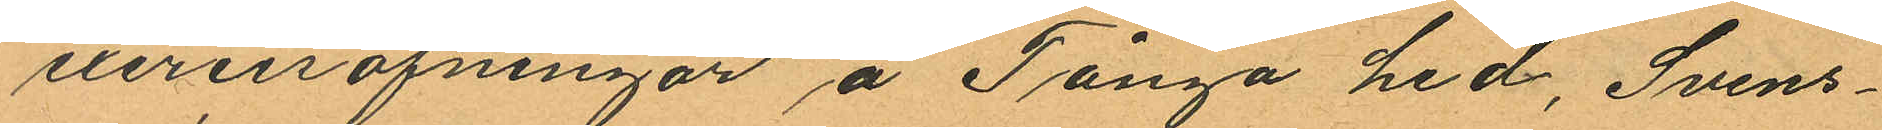exercisöfningar å Tånga hed, Svens¬
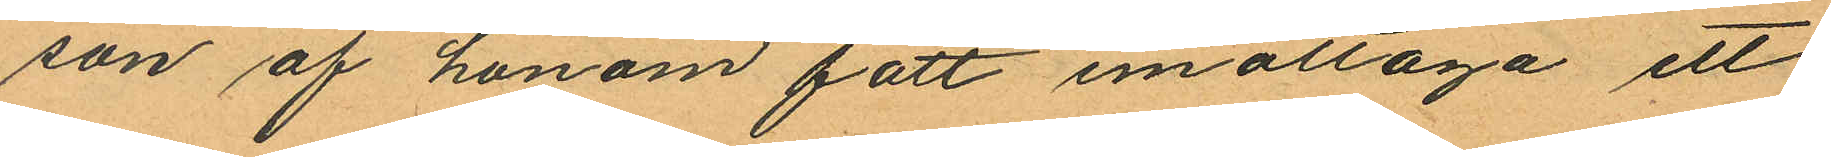son af honom fått emottaga ett
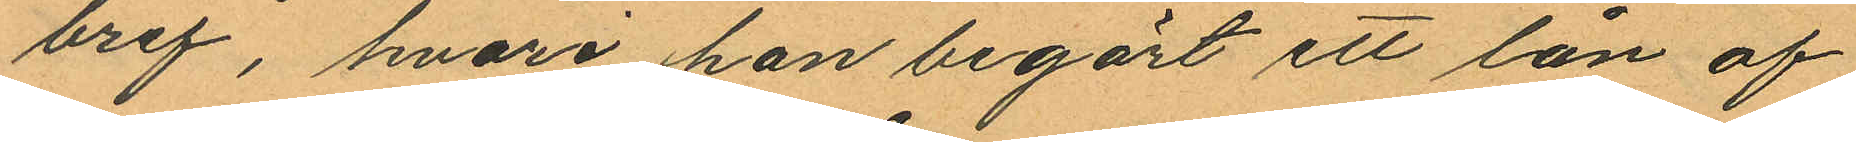bref, hvari han begärt ett lån af
